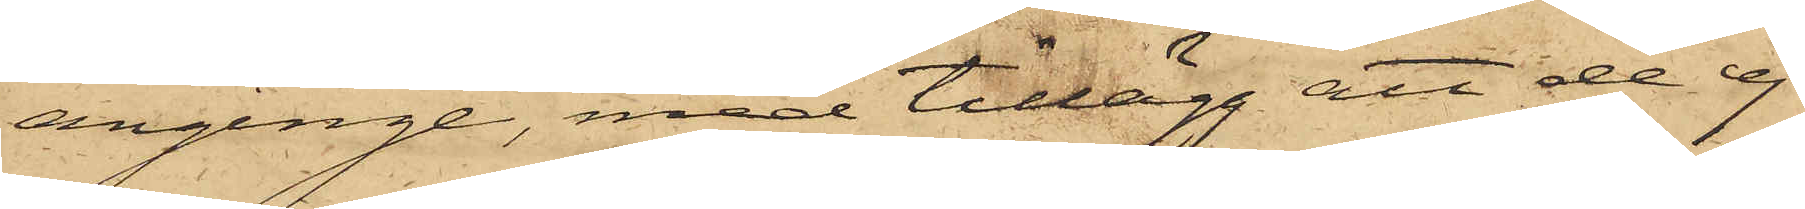anginge, med tillägg att de ej
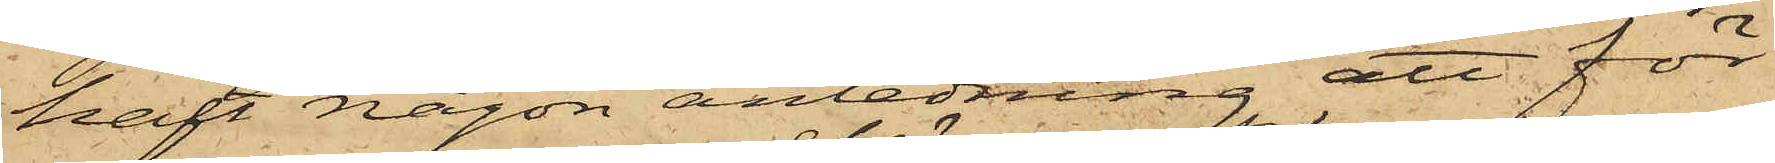haft någon anledning att för
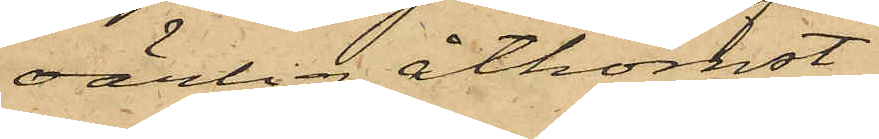oärlig åtkomst
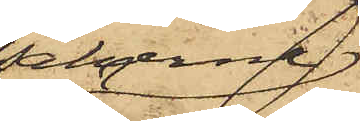sakerne
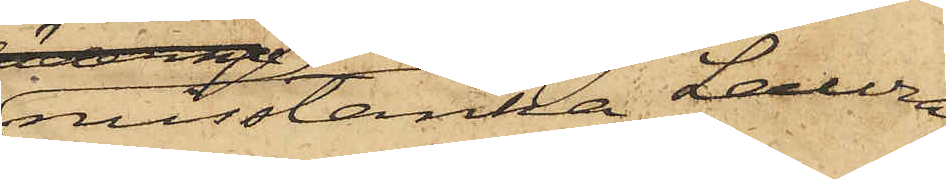misstänka Laura
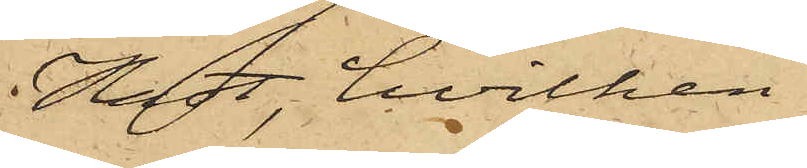Hast, hvilken
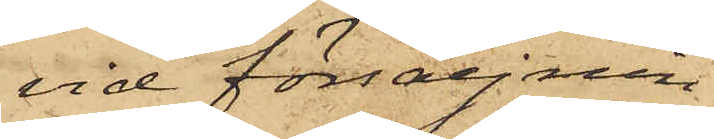vid försäljnin¬
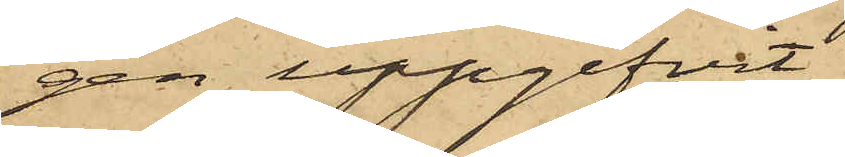gen uppgifvit
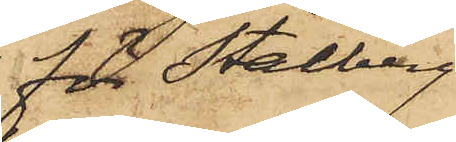för Stålberg
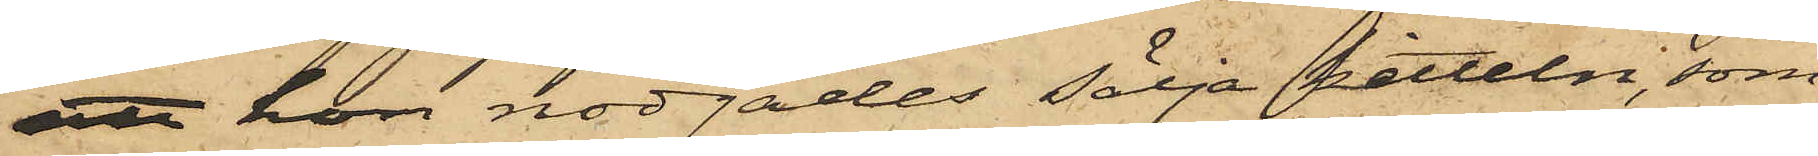att hon nödgades sälja kitteln, som
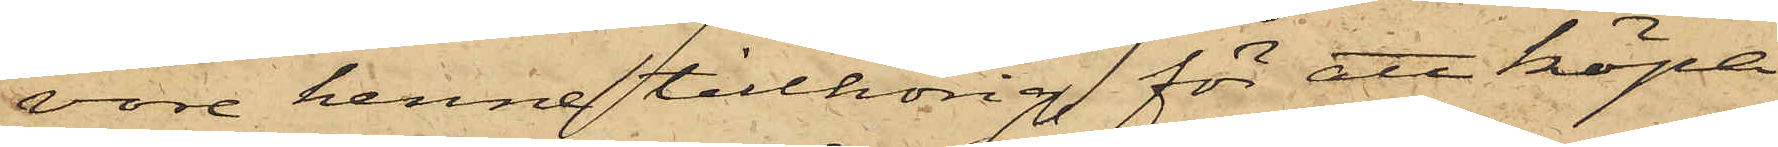vore henne tillhörig, för att köpa
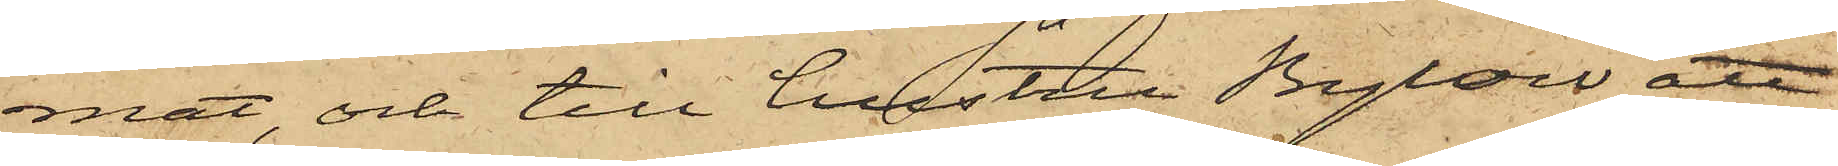mat, och till hustru Bylow att
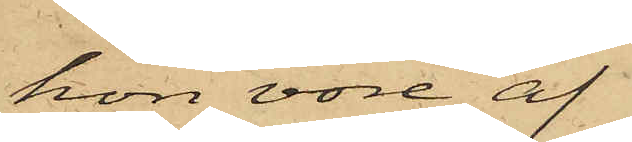hon vore af
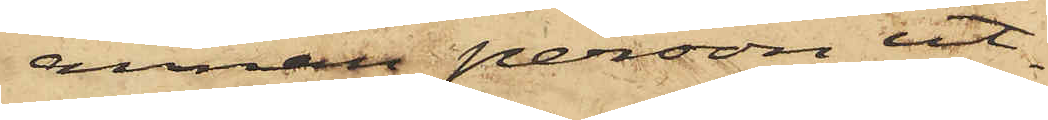annan person ut¬
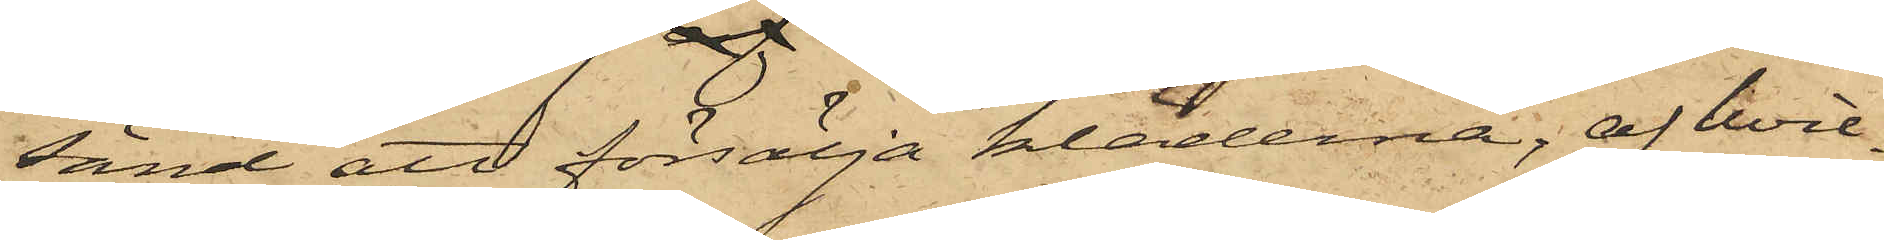sänd att försälja kläderna, af hvil¬
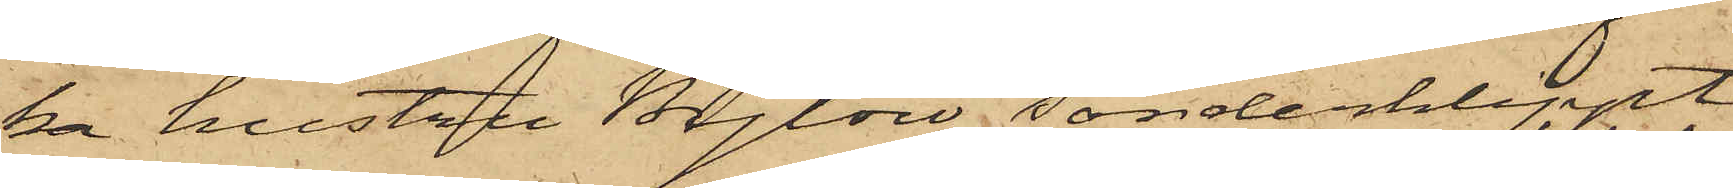ka hustru Bylow sönderklippt
